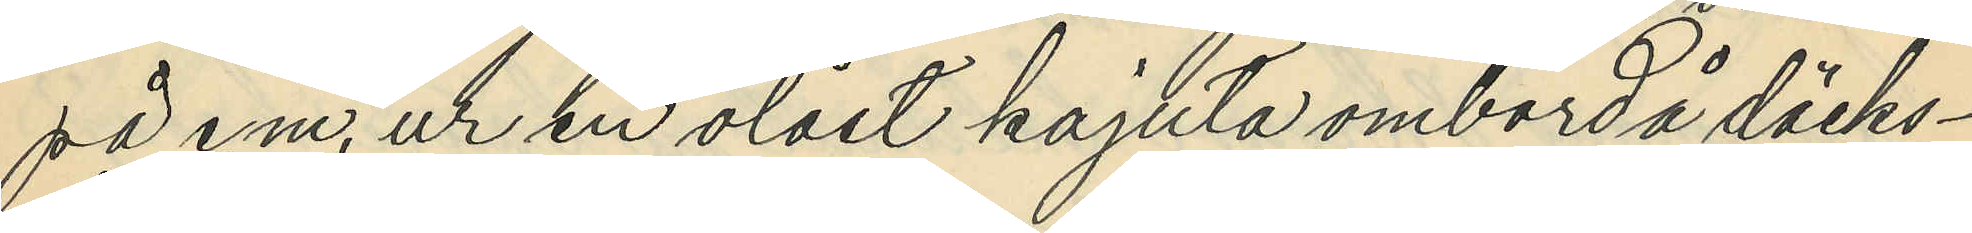på e.m. ur en olåst kajuta ombord å däcks¬
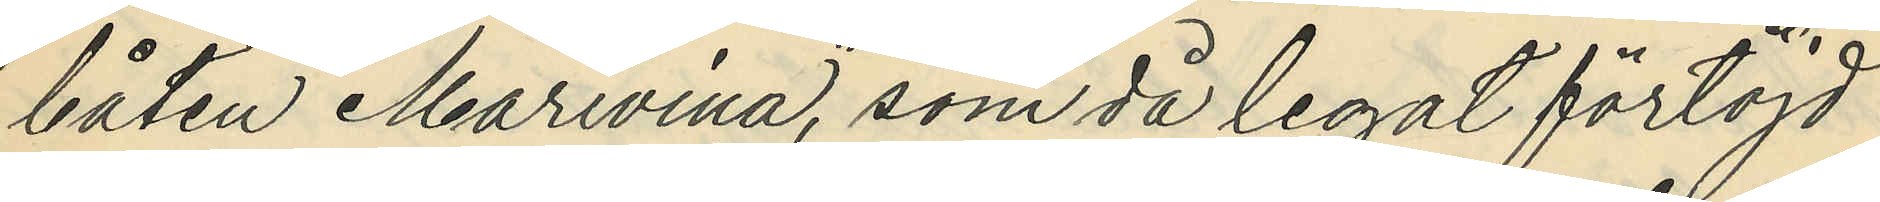båten "Marivina", som då legat förtöjd
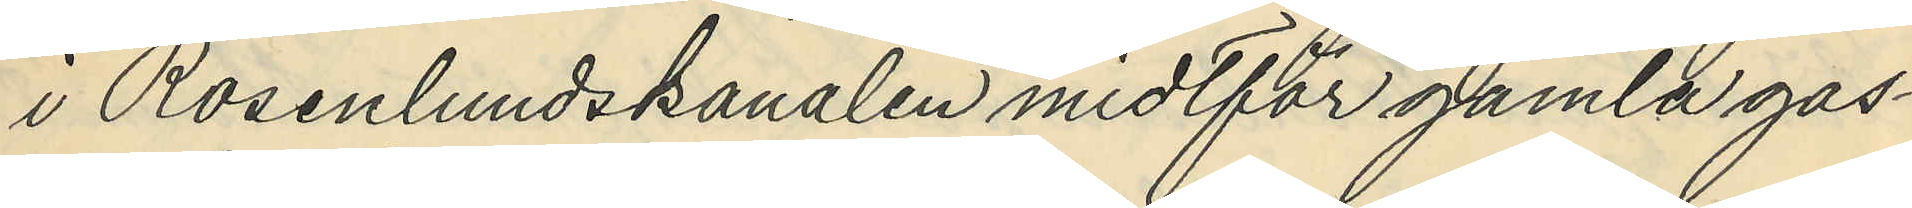i Rosenlundskanalen midtför gamla gas¬
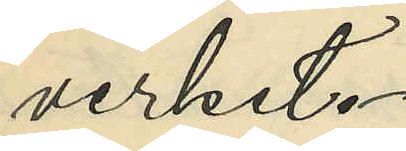verket.
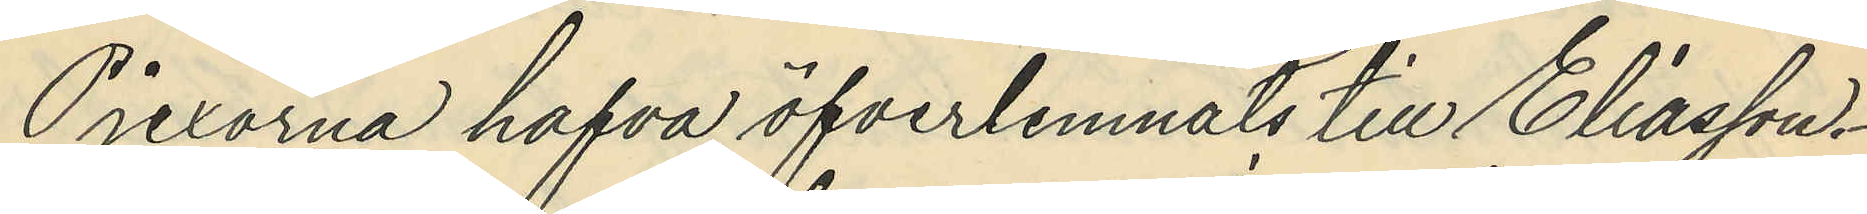Pjexorna hafva öfverlemnats till Eliasson.
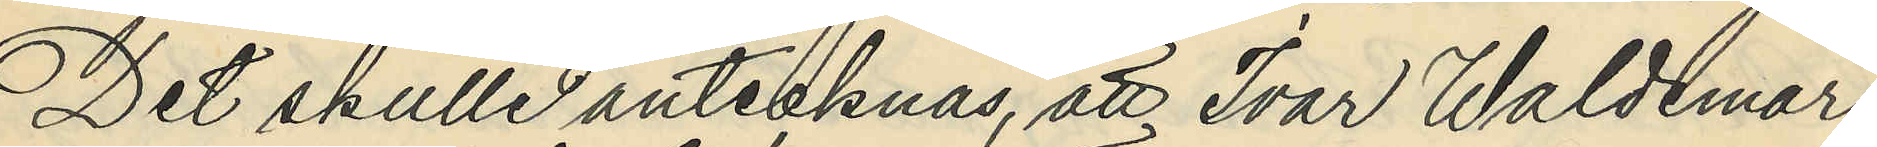Det skulle antecknas, att Ivar Waldemar
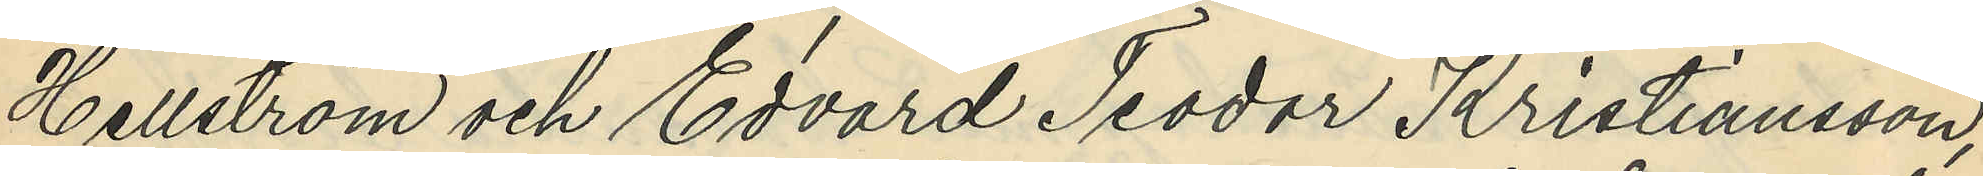Hellström och Edvard Teodor Kristiansson,
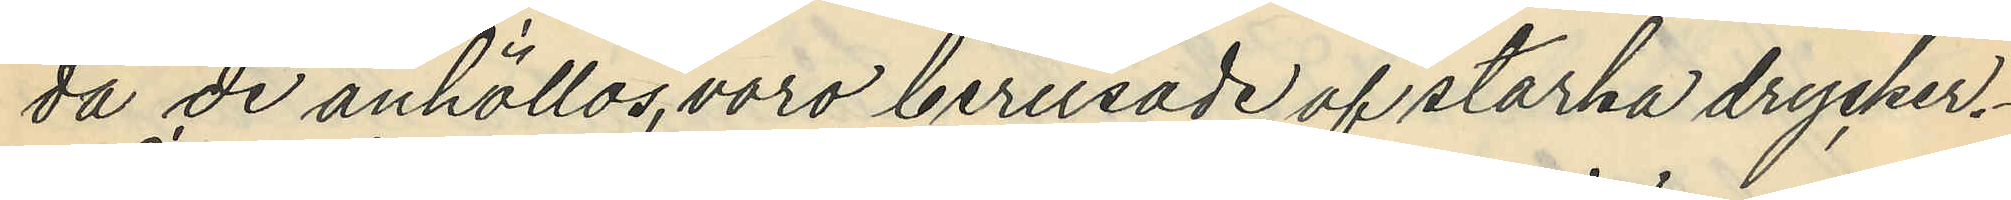då de anhöllos,voro berusade af starka drycker.
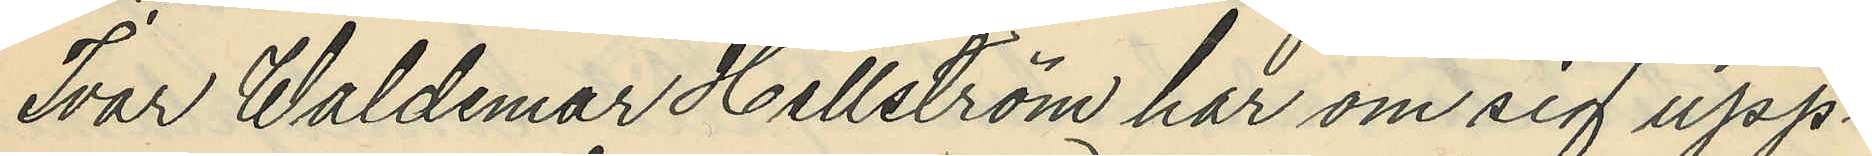Ivar Waldemar Hellström har om sig upp¬
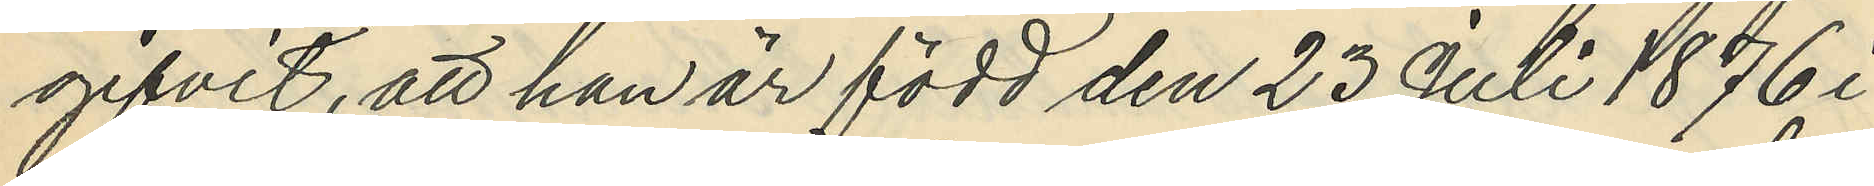gifvit, att han är född den 23 Juli 1876 i
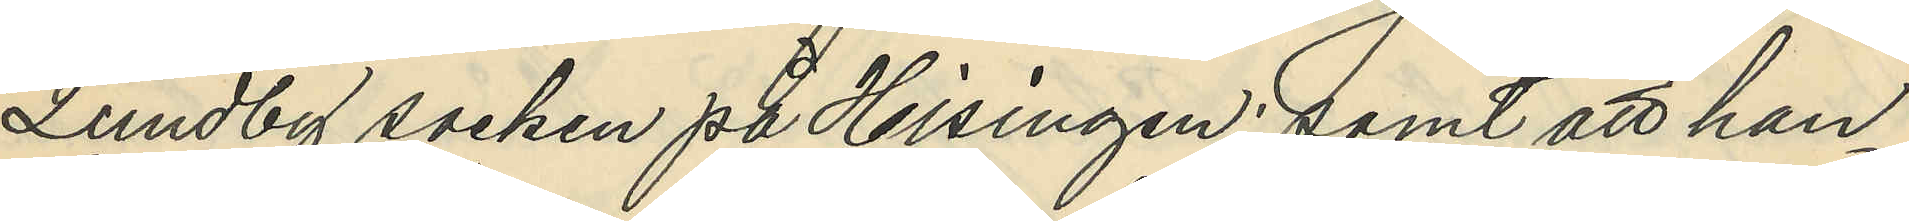Lundby socken på Hisingen; samt att han
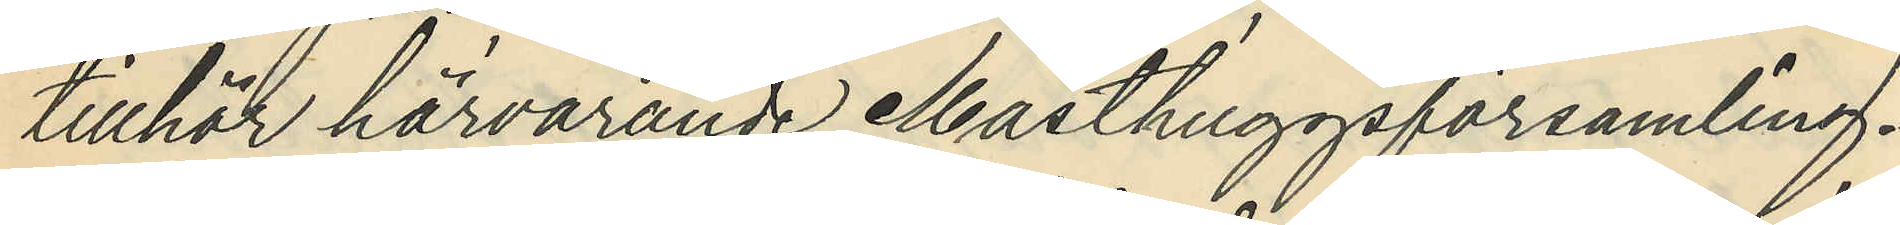tillhör härvarande Masthuggsförsamling.
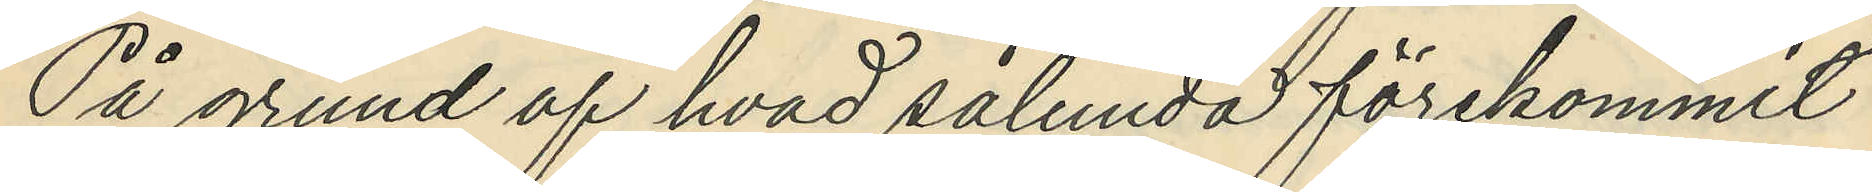På grund af hvad sålunda förekommit
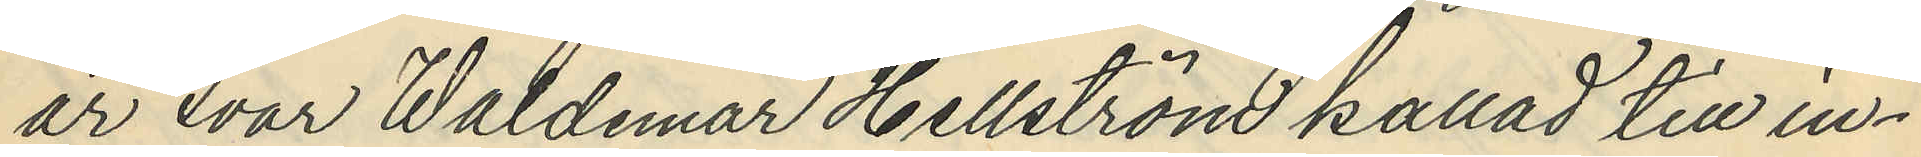är var Waldemar Hellström kallad till in¬
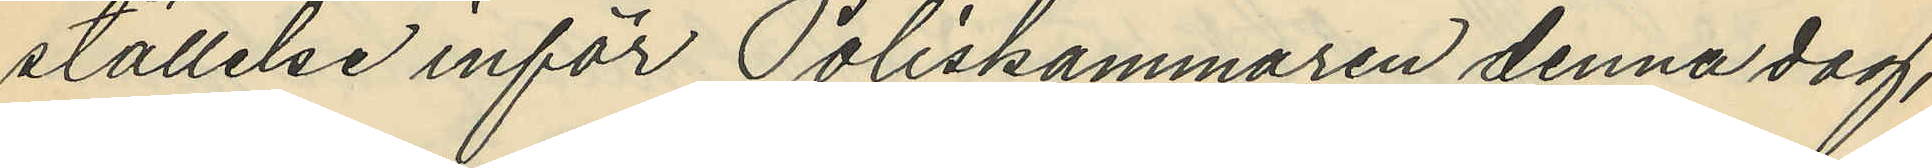ställelse inför Poliskammaren denna dag,
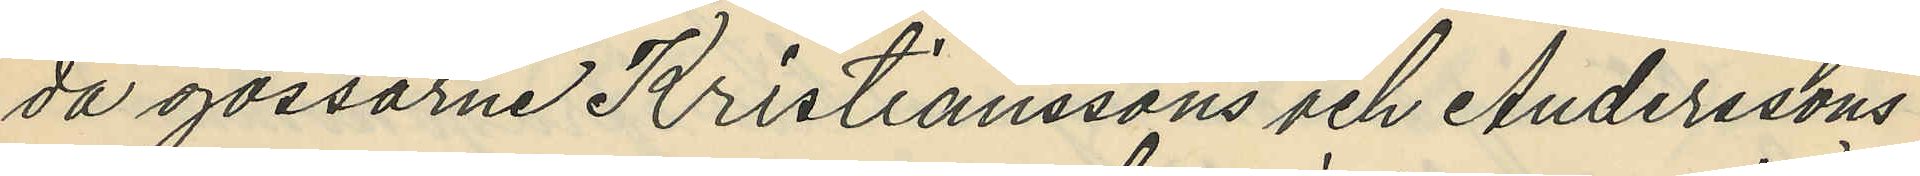då gossarne Kristianssons och Anderssons
